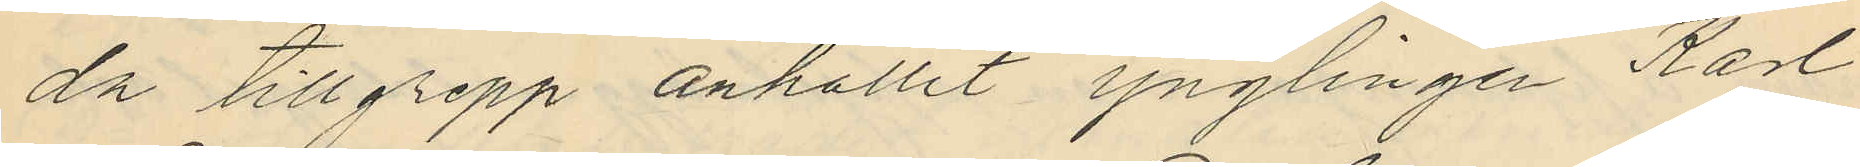da tillgrepp anhållit ynglingen Karl
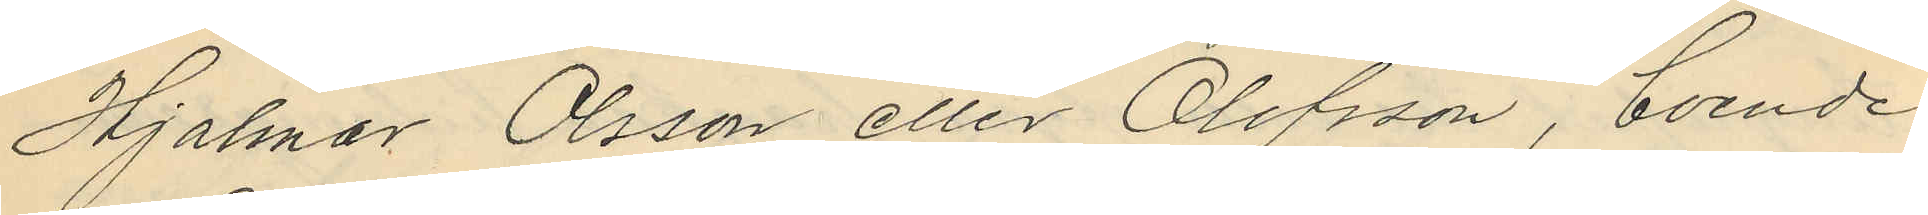Hjalmar Olsson eller Olofsson, boende
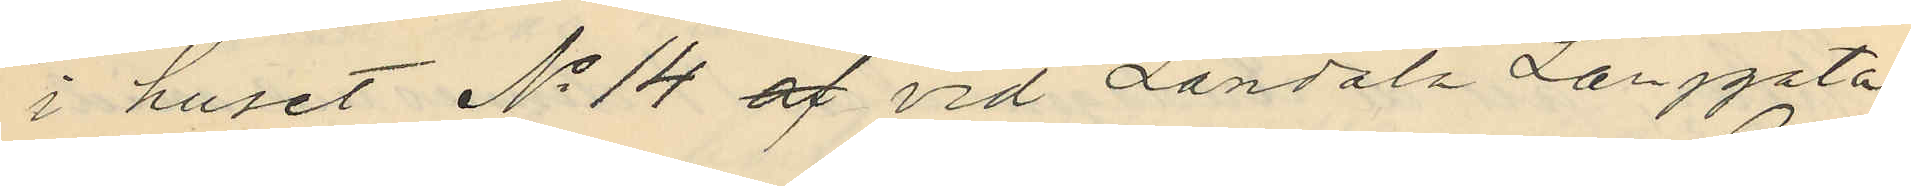i huset No 14 af vid Landala Långgata
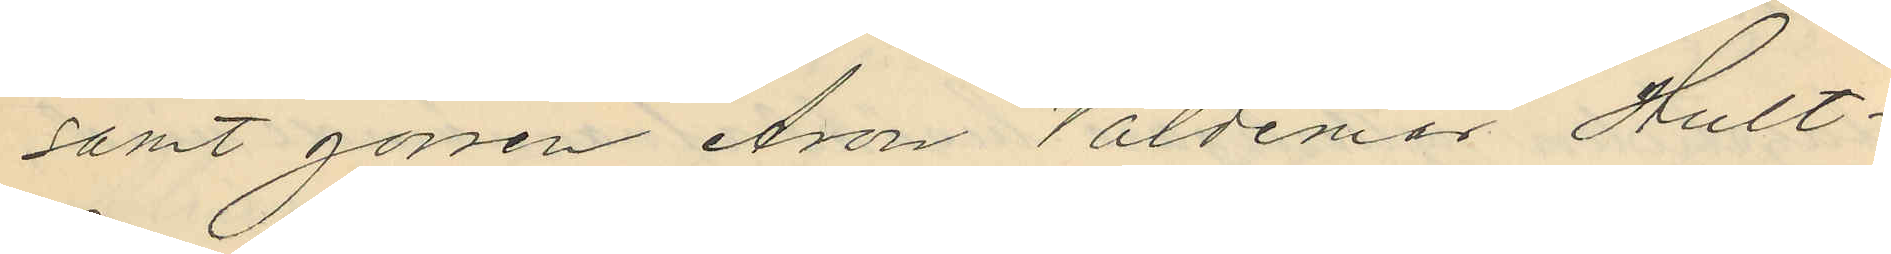samt gossen Aron Valdemar Hult¬
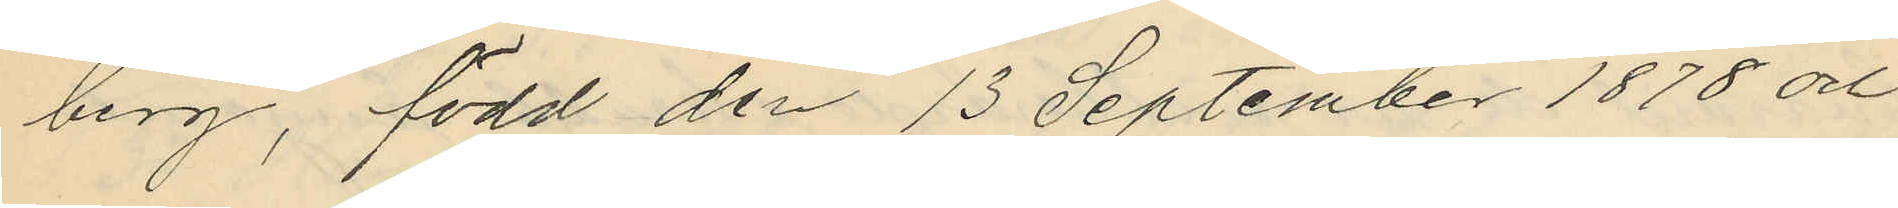berg, född den 13 September 1878 och
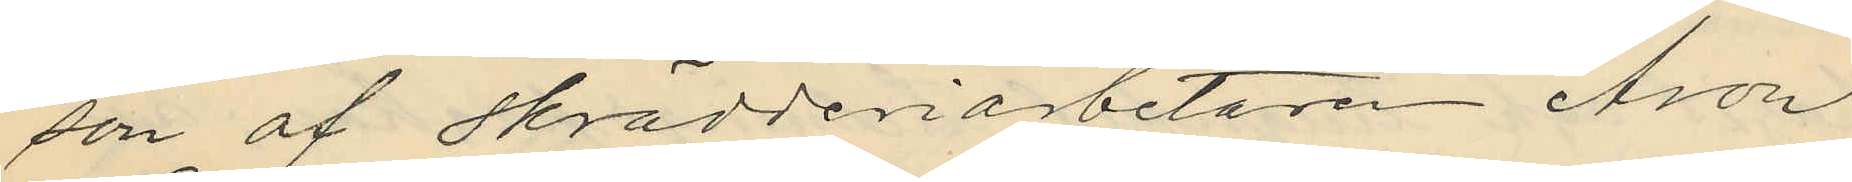son af skrädderiarbetaren Aron
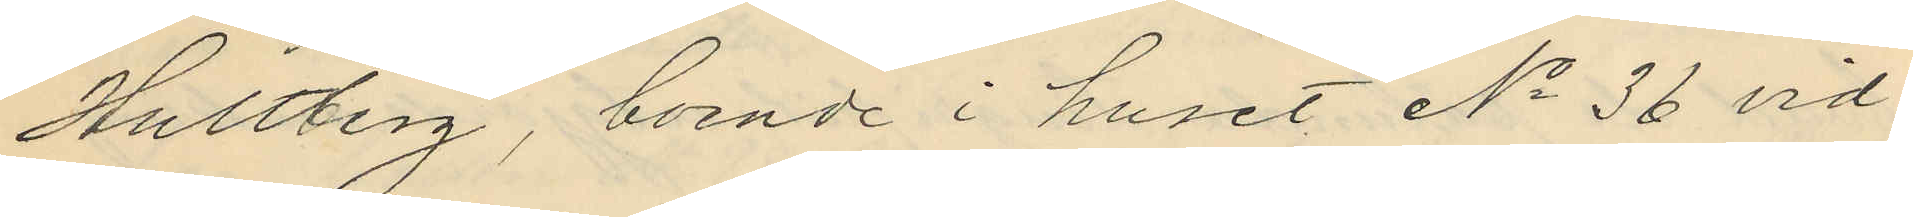Hultberg, boende i huset No 36 vid
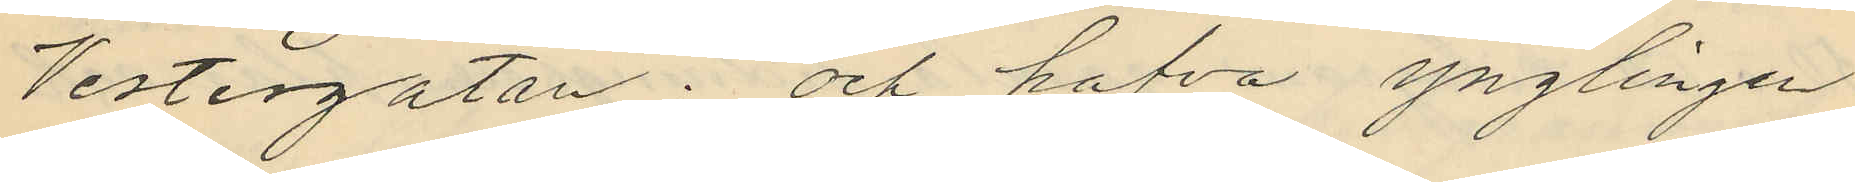Vestergatan; och hafva ynglingen
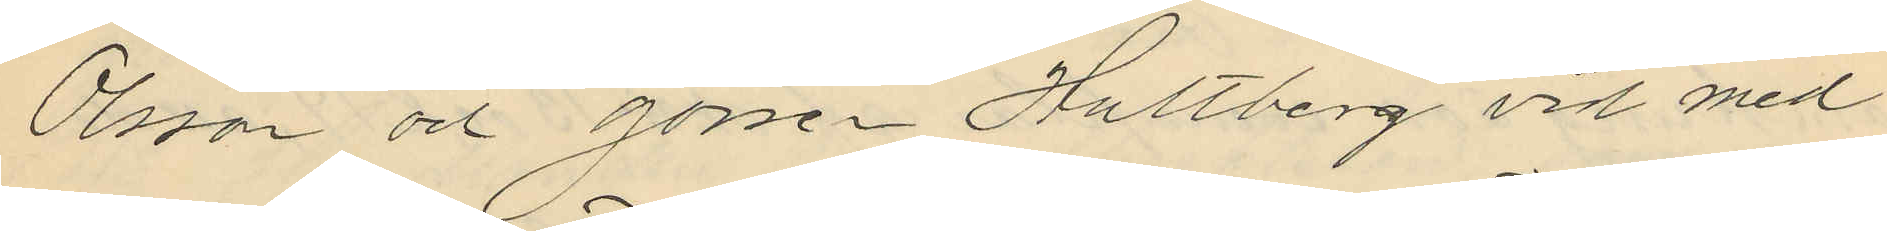Olsson och gossen Hultberg vid med
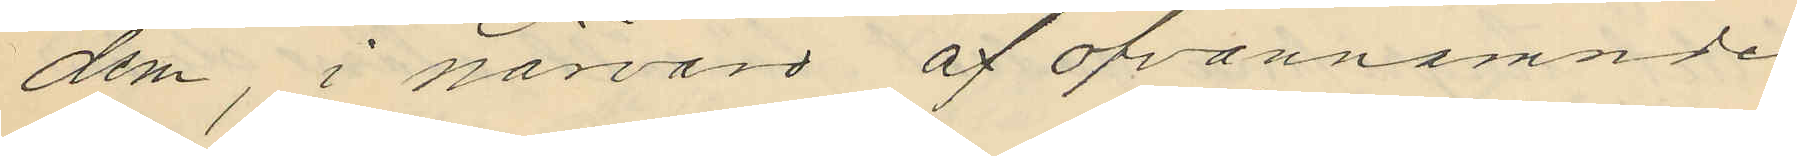dem, i närvaro af ofvannämnde
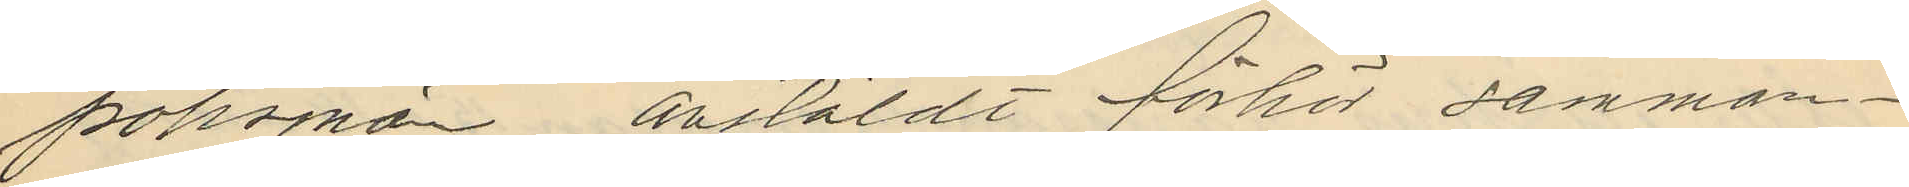polismän anstäldt förhör samman¬
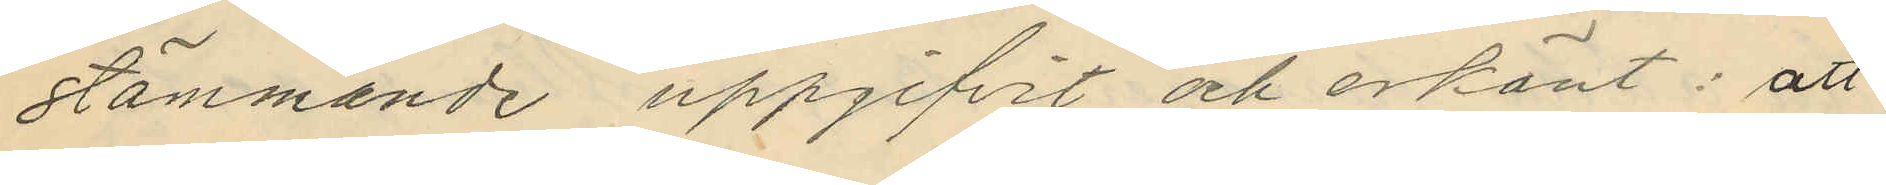stämmande uppgifvit och erkänt: att
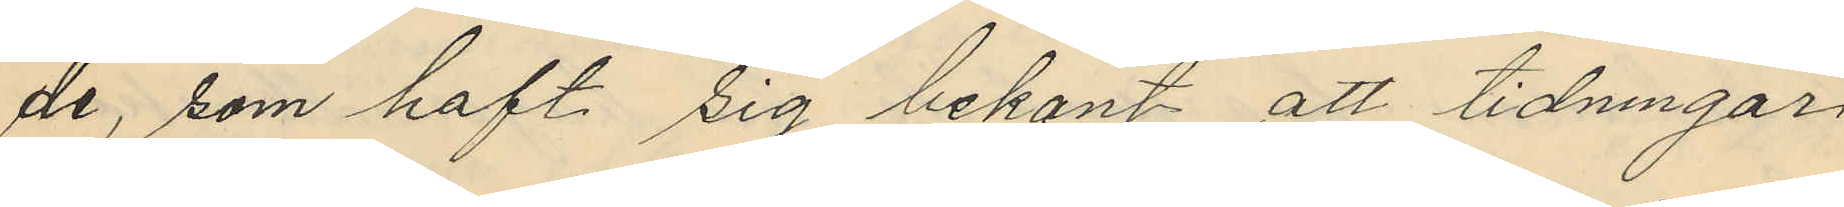de, som haft sig bekant att tidningar
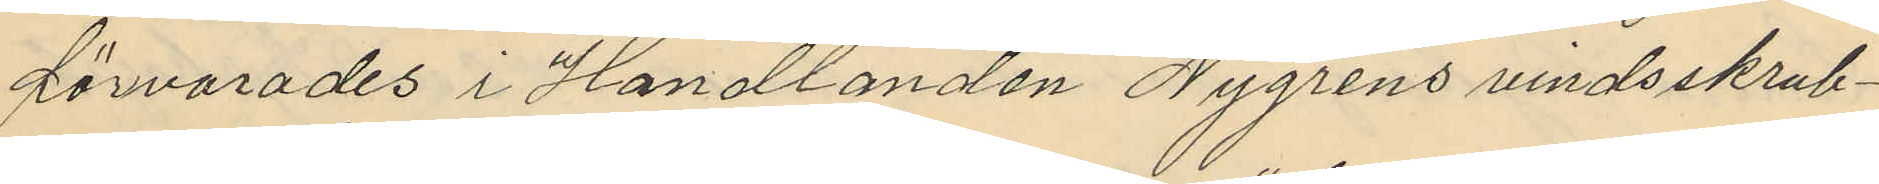förvarades i Handlanden Nygrens vindsskrub¬
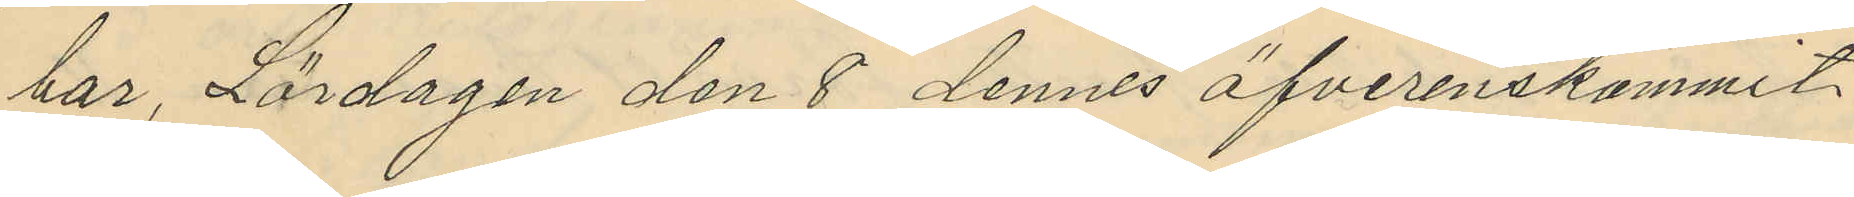bar, Lördagen den 8 dennes öfverenskommit
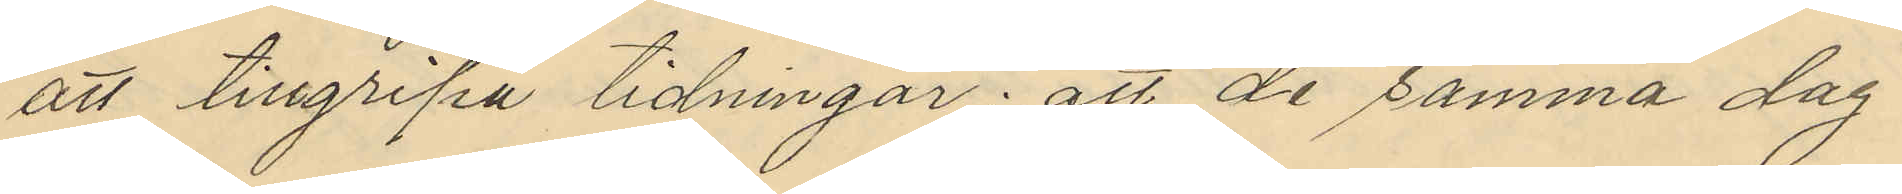att tillgripa tidningar; att de samma dag
